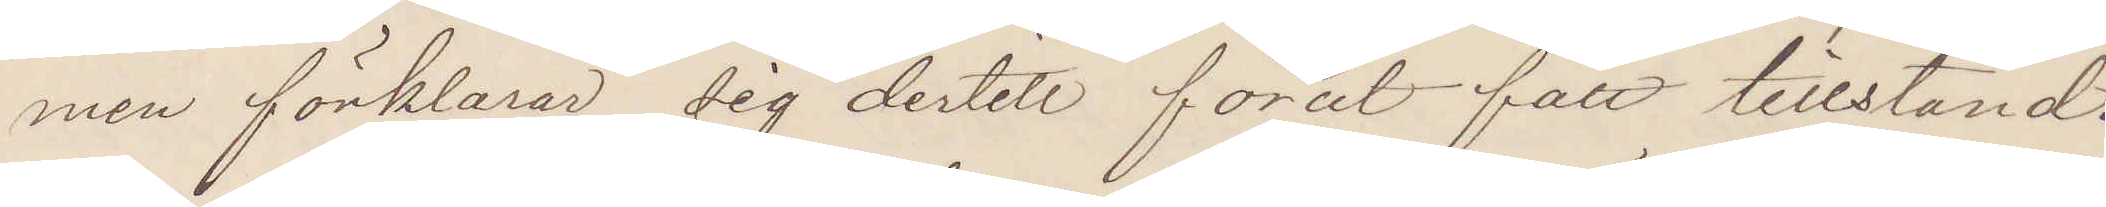men förklarar sig dertill förut fått tillstånd.
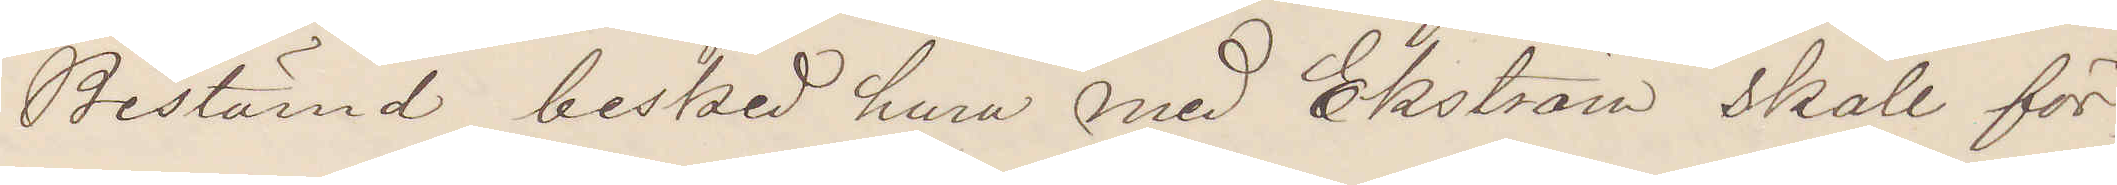Bestämd besked huru med Ekström skall för¬
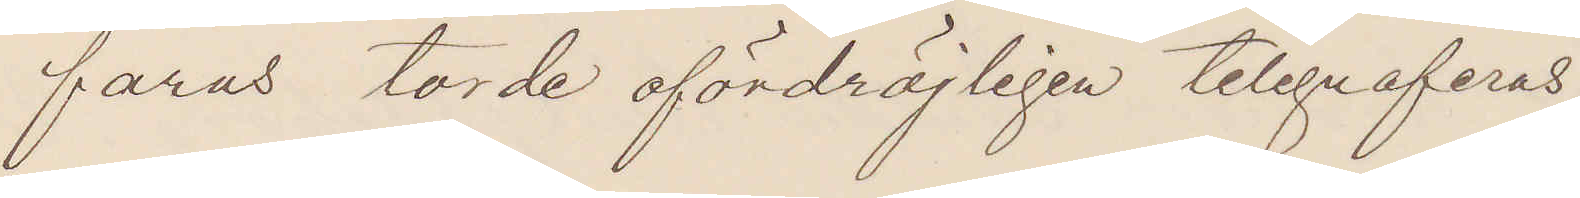fars torde ofördröjligen telegraferas.
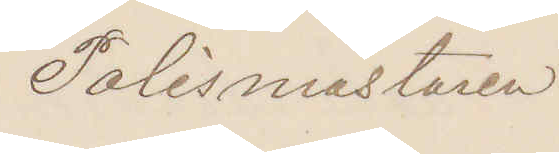Polismästaren.
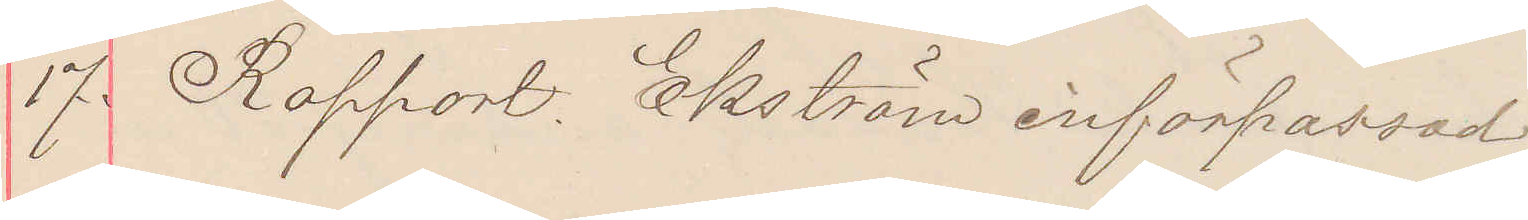17. Rapport. Ekström införpassad.
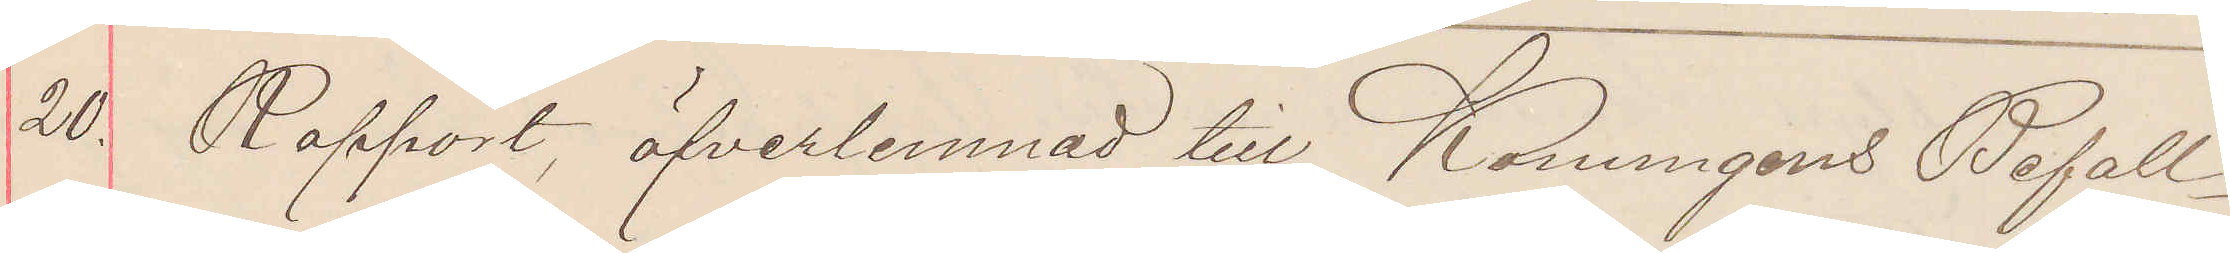20. Rapport, öfverlemnad till Konungens Befall¬
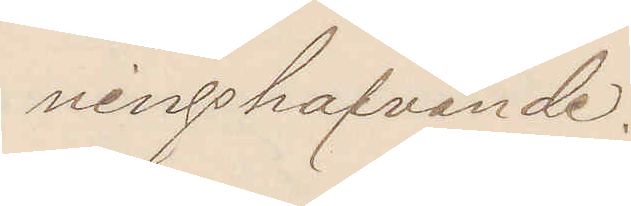ningshafvade.
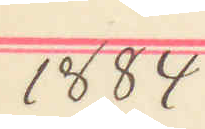1884
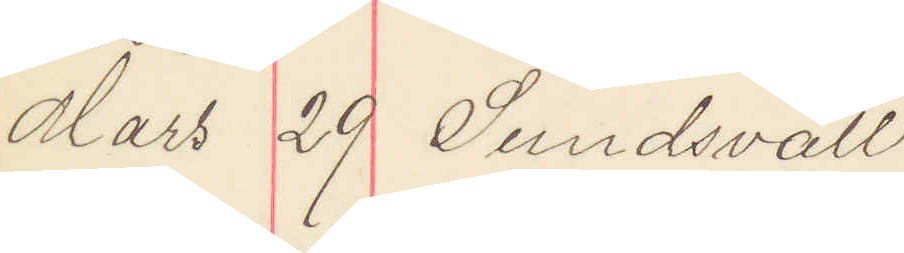Mars 29 Sundsvall.
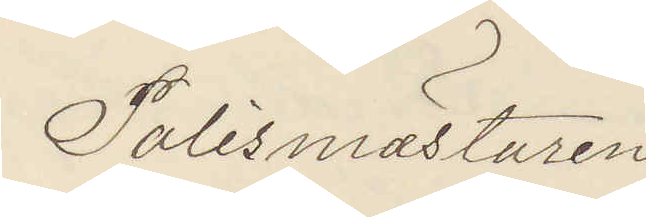Polismästaren.
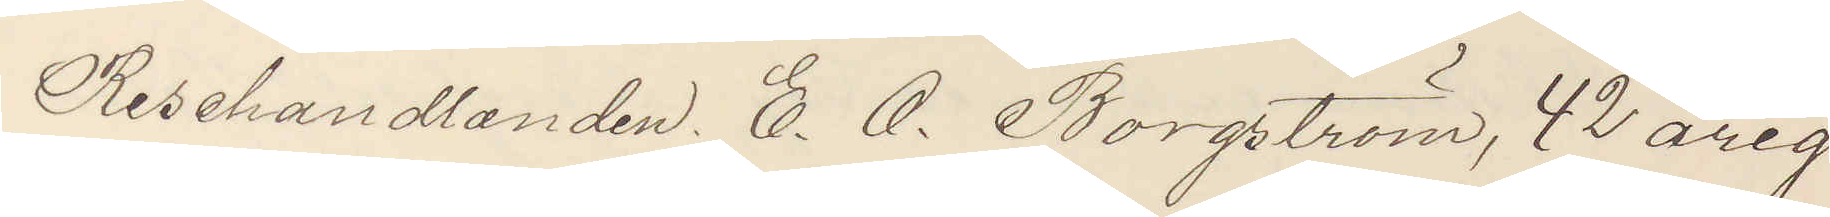Resehandlanden E. O. Borgström, 42 årig
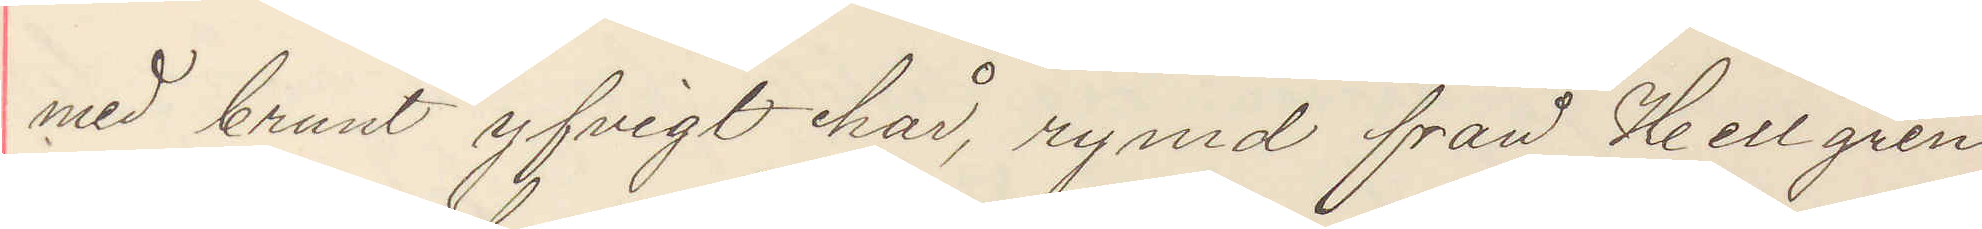med brunt yfvigt hår, rymd från Hellgren.
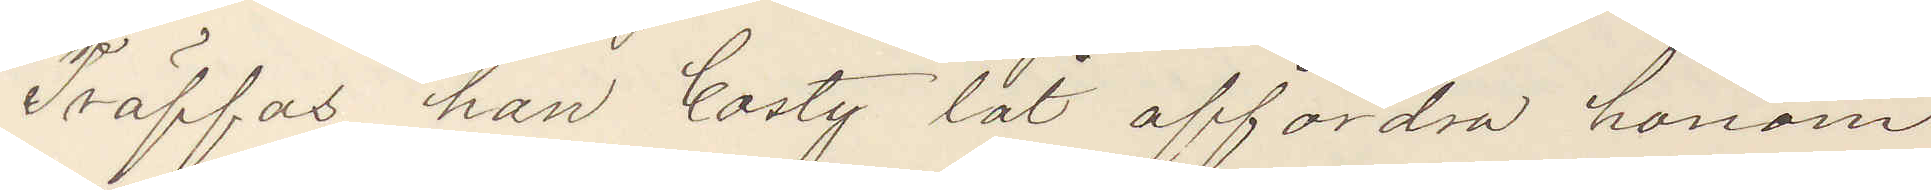Träffas han bosty låt affordra honom
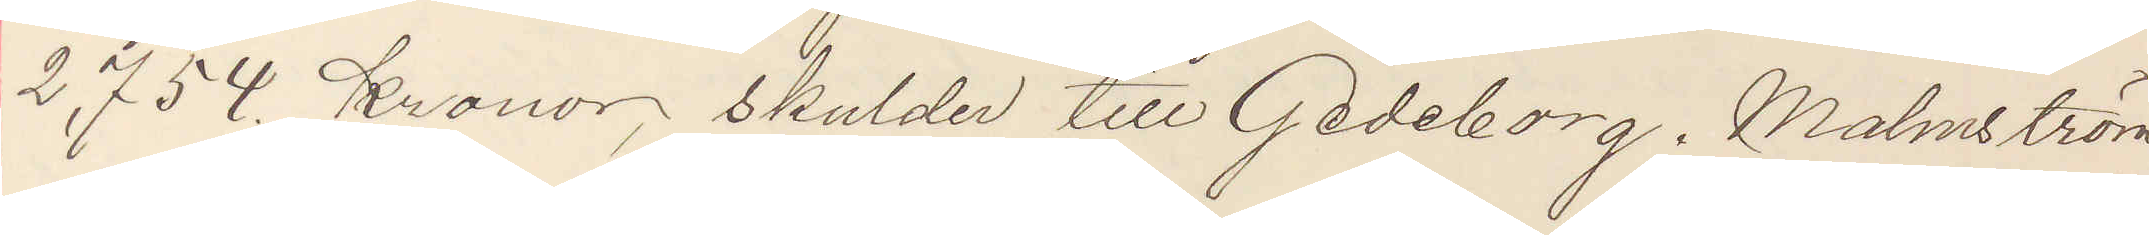2,754 Kronor skulder till Gedeborg. Malmström
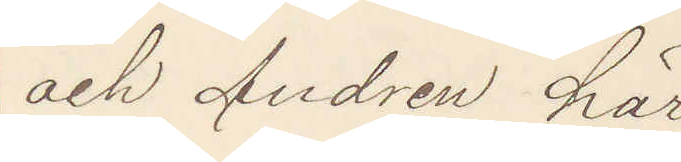och Andren här.
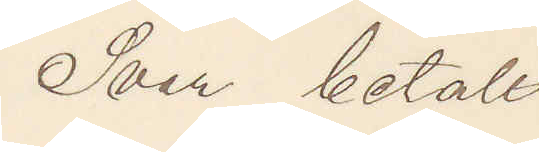Svar betalt.
